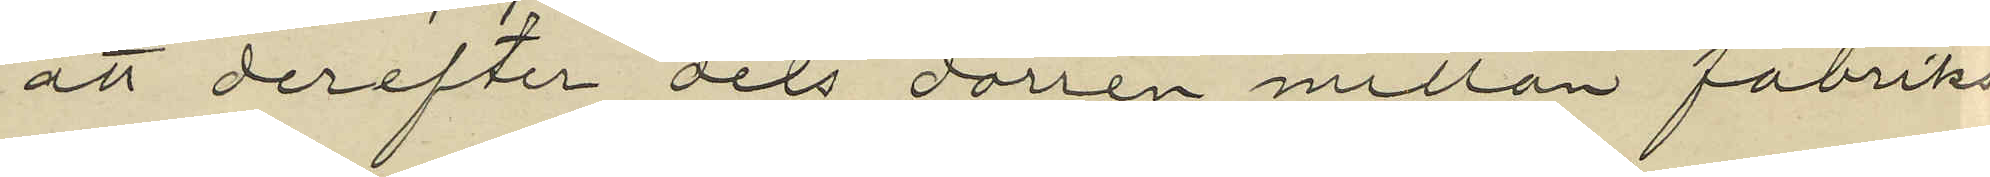att derefter dels dörren mellan fabriks¬
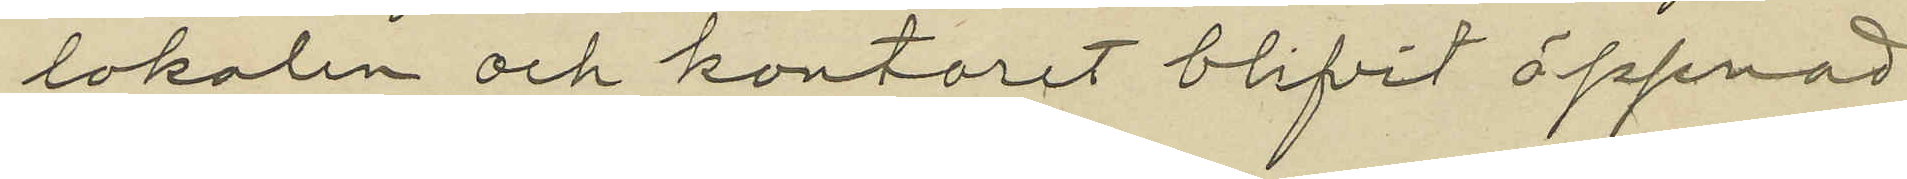lokalen och kontoret blifvit öppnad
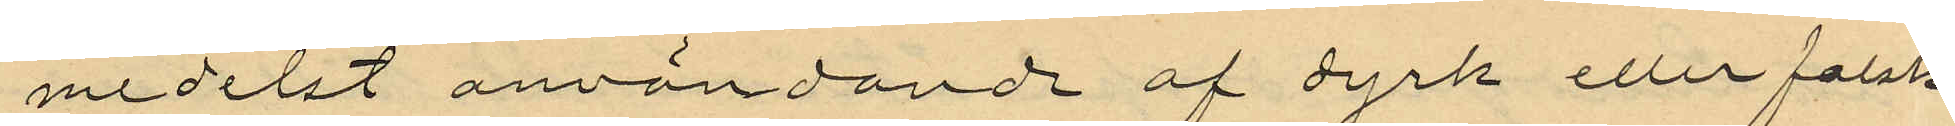medelst användande af dyrk eller falsk
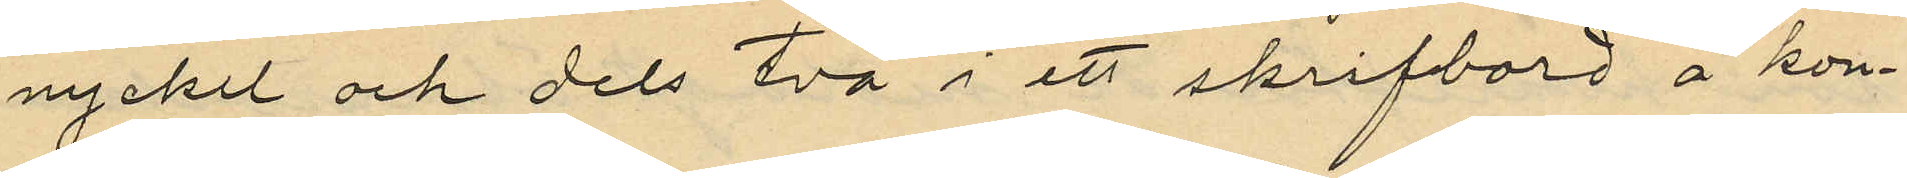nyckel och dels två i ett skrifbord å kon¬
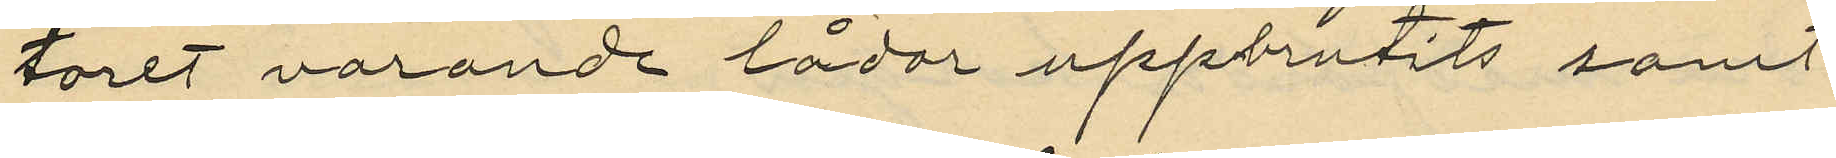toret varande lådor uppbrutits samt
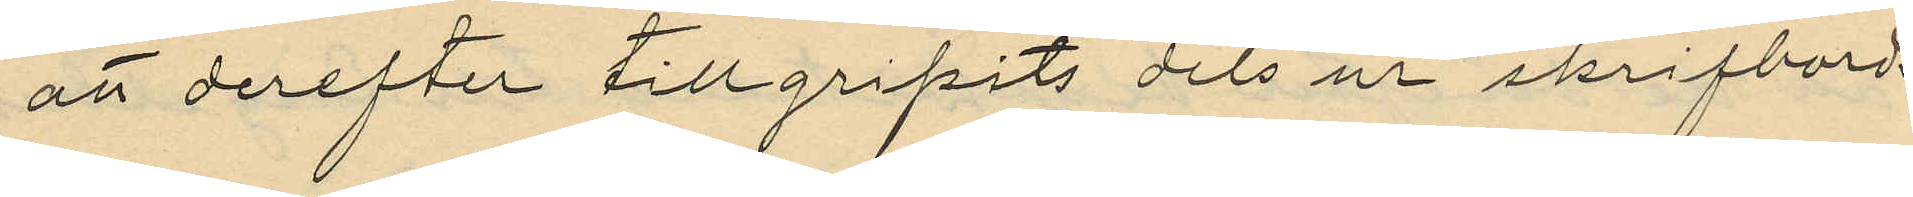att derefter tillgripits dels ur skrifbords
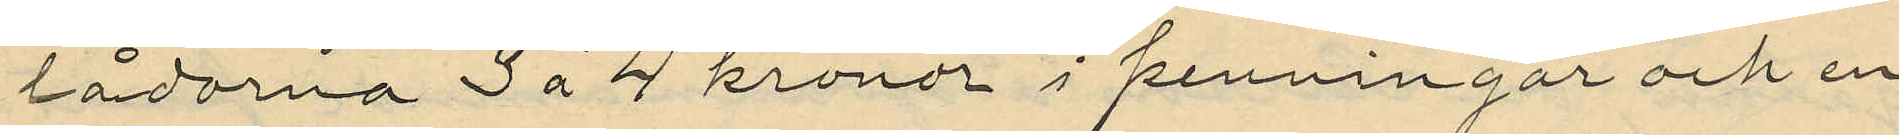lådorna 3 á 4 kronor i penningar och en
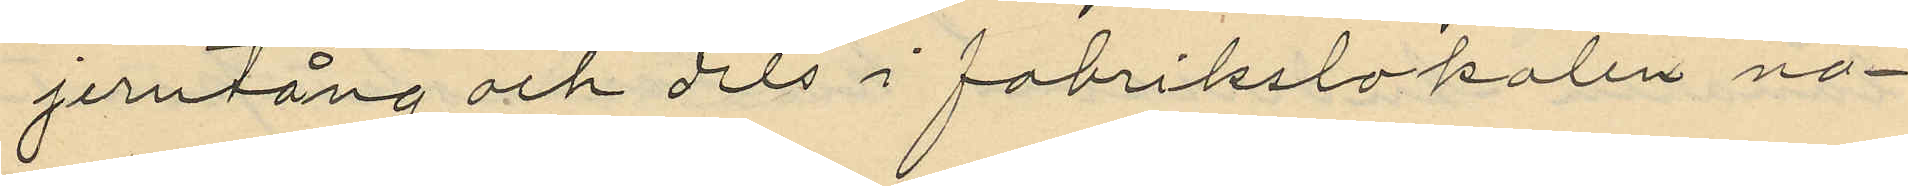jerntång och dels i fabrikslokalen nå¬
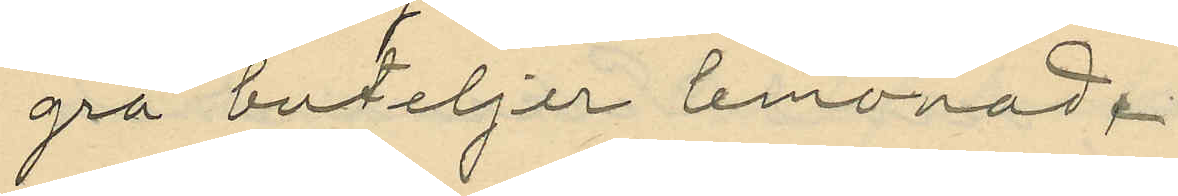gra buteljer lemonad.
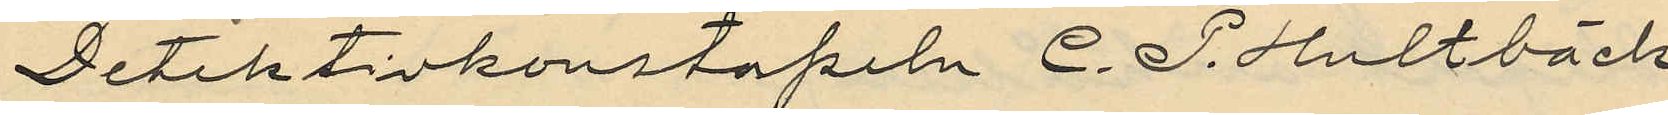Detektivkonstapeln C. P. Hultbäck
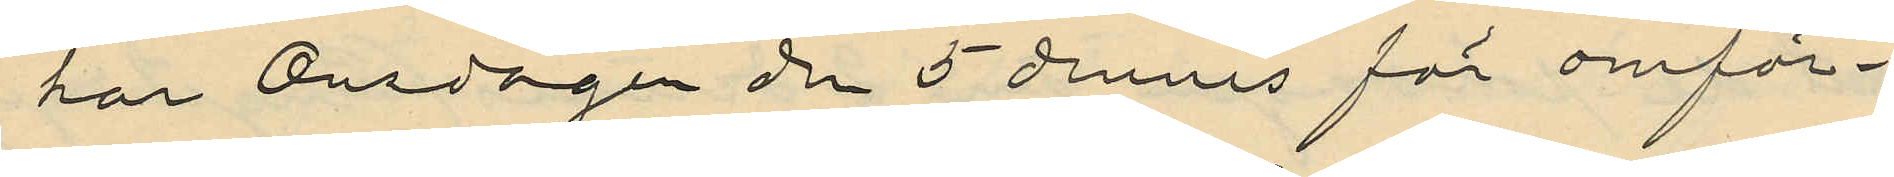har Onsdagen den 5 dennes för omför¬
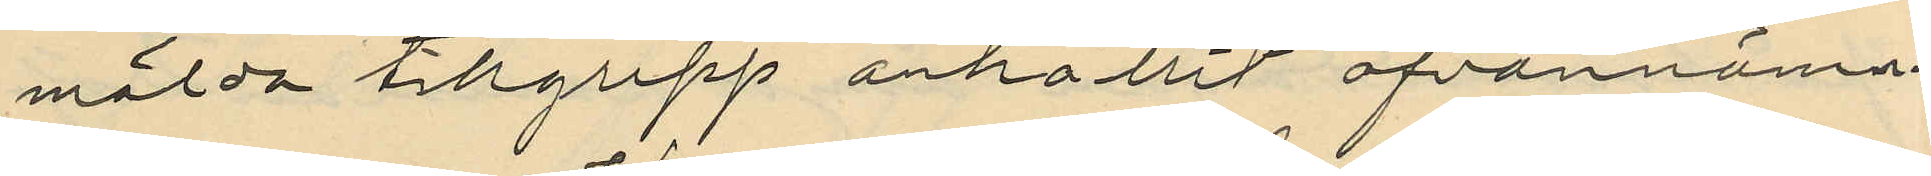mälda tillgrepp anhållit ofvannämn¬
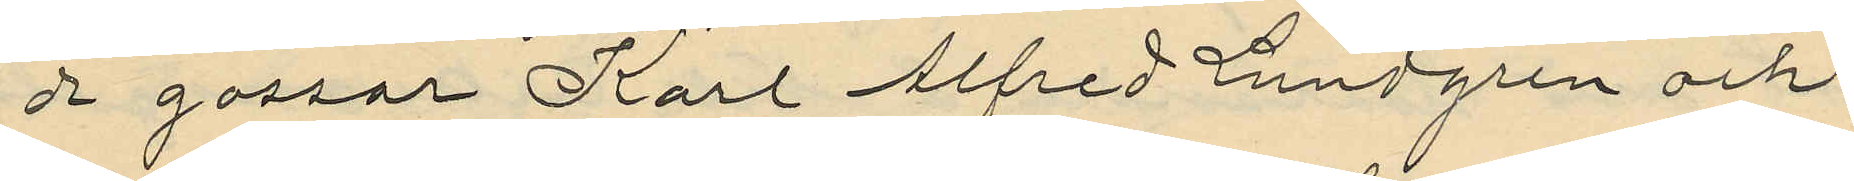da gossar Karl Alfred Lundgren och
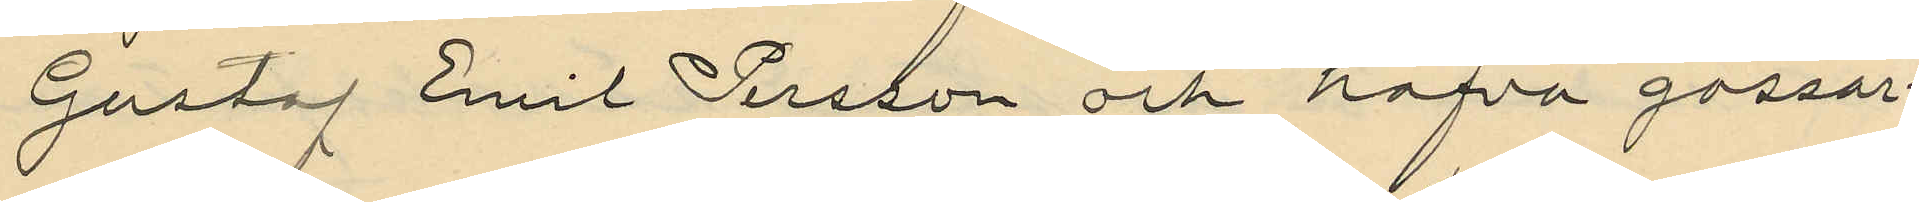Gustaf Emil Persson och hafva gossar¬
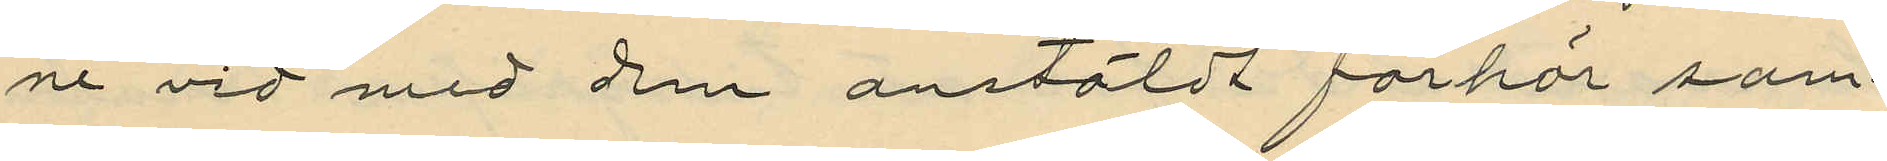ne vid med dem anstäldt förhör sam¬
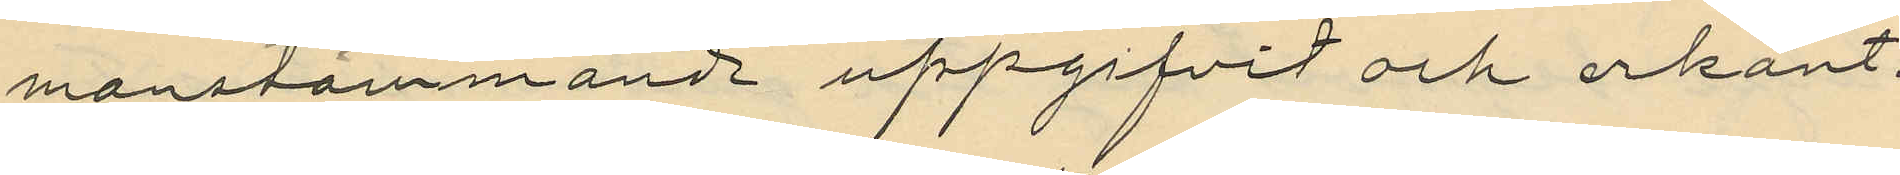manstämmande uppgifvit och erkänt.
